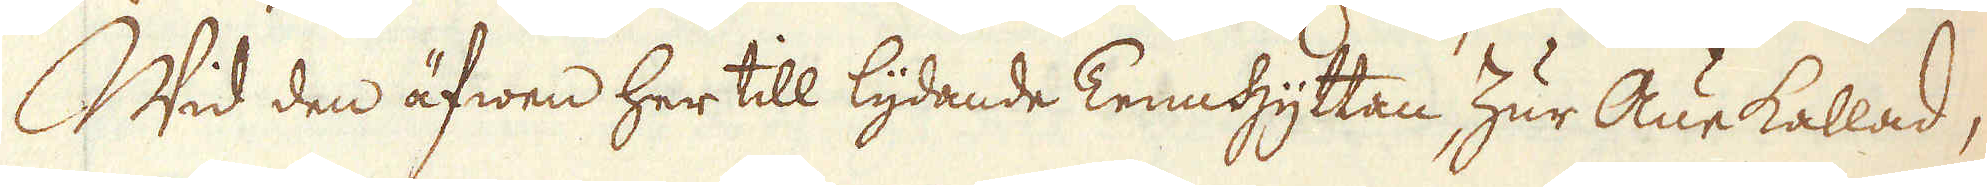Wid den äfwen her till lydande Tennhyttan, Zur Aue kallad,
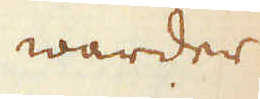warder
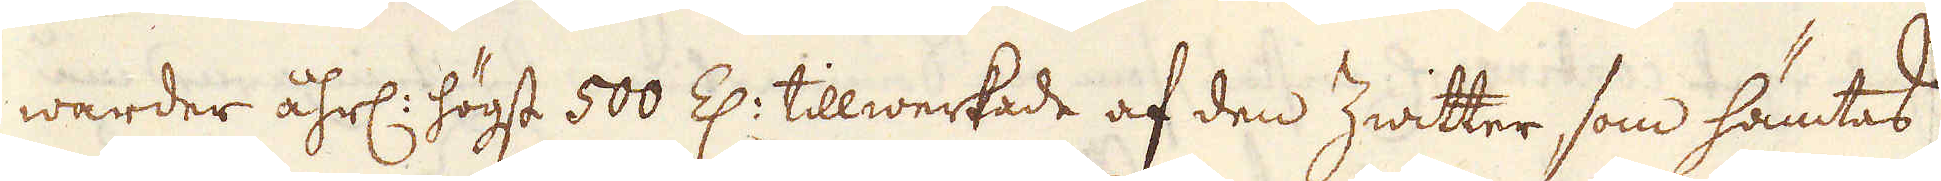warder åhrl: högst 500 Z: tillwerkade af den Zwitter, som hämtas
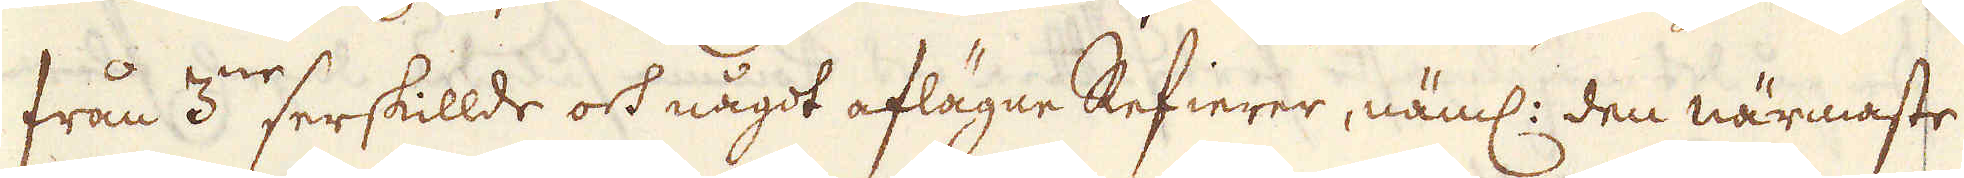från 3:ne serskillde och något aflägne Refierer, näml: den närmaste
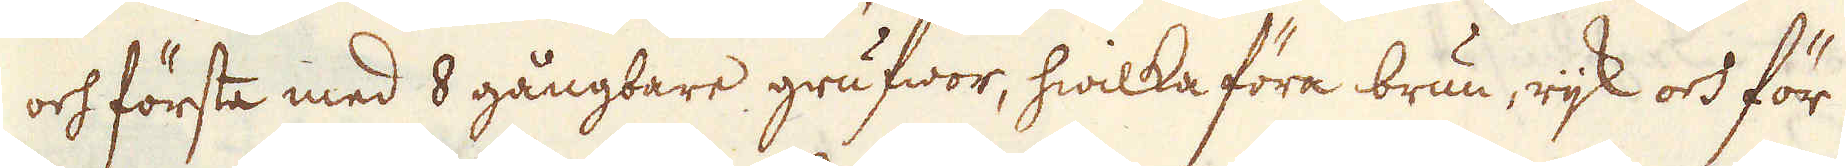och första med 8 gångbare grufwor, hwilka föra brun, rijk och för
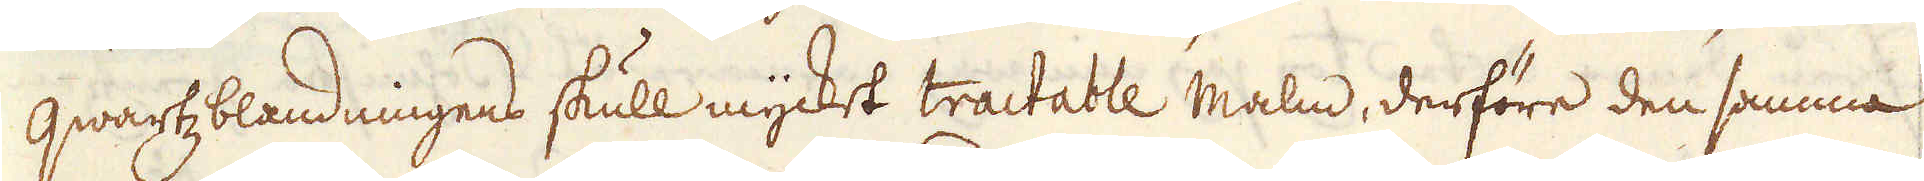qwartzblandningens skull mycket tractable Malm, derföre den samma
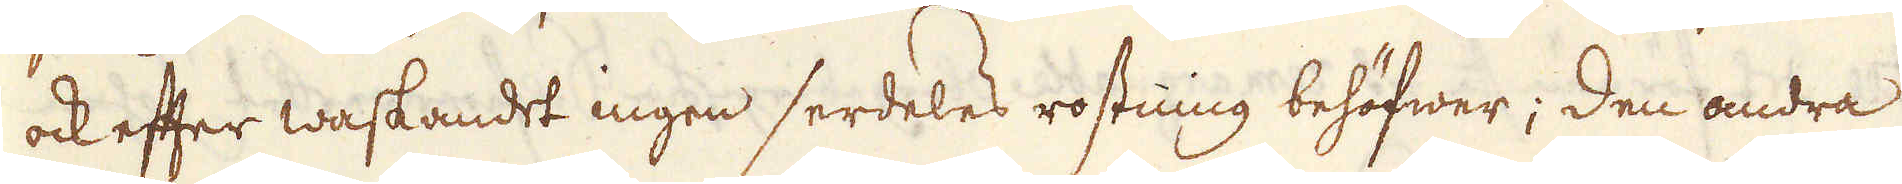ock efter waskandet ingen serdeles rostning behöfwer; den andra
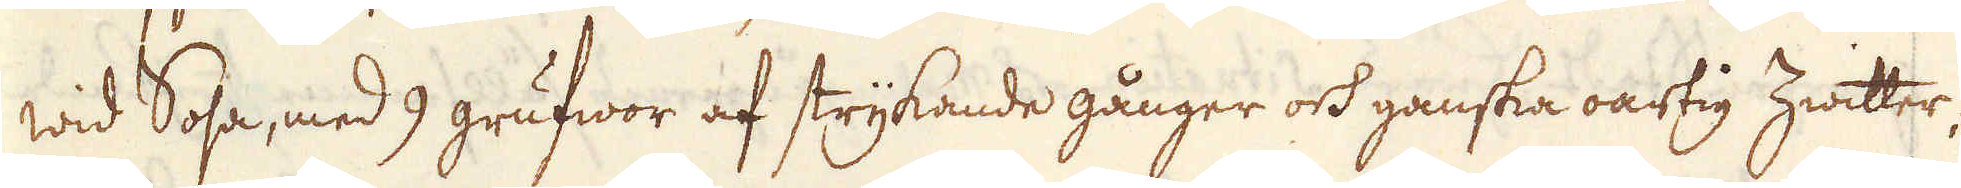wid Sosa, med 9 grufwor af strykande gånger och ganska oartig Zwitter;
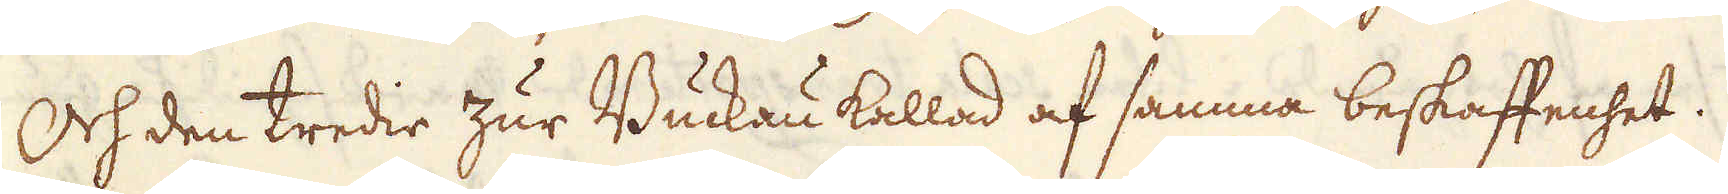Och den tredie zur Buckau kallad af samma beskaffenhet.
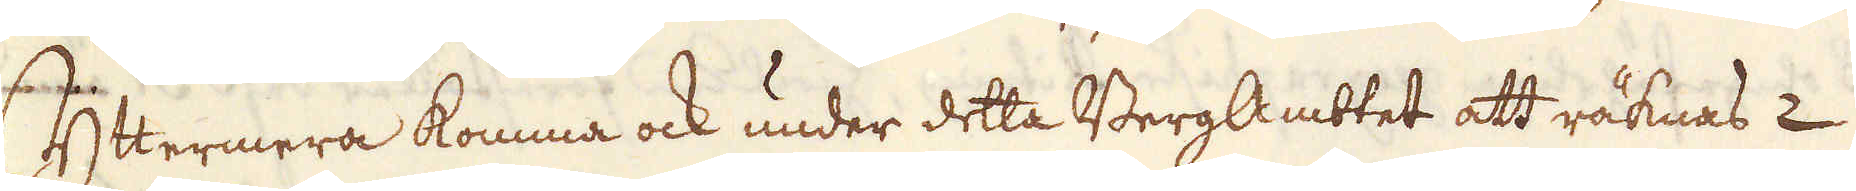Yttermera komma ock under detta BergAmbtet att räknas 2
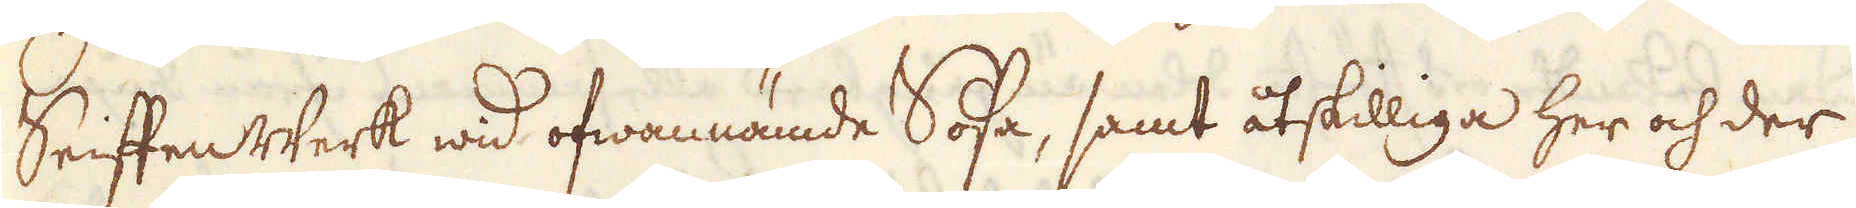SeiffenWerk wid ofwannämde Sosa, samt åtskilliga her och der
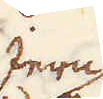Jern
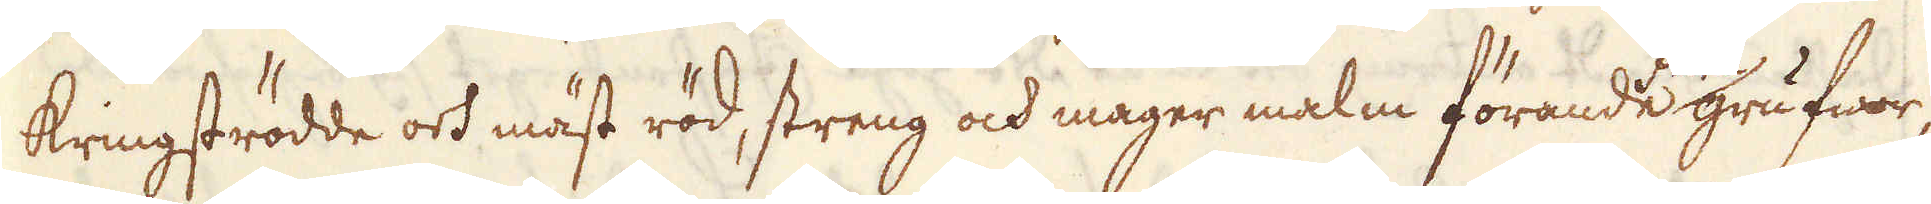kringströdde och mäst röd, streng och mager malm förande grufwor,
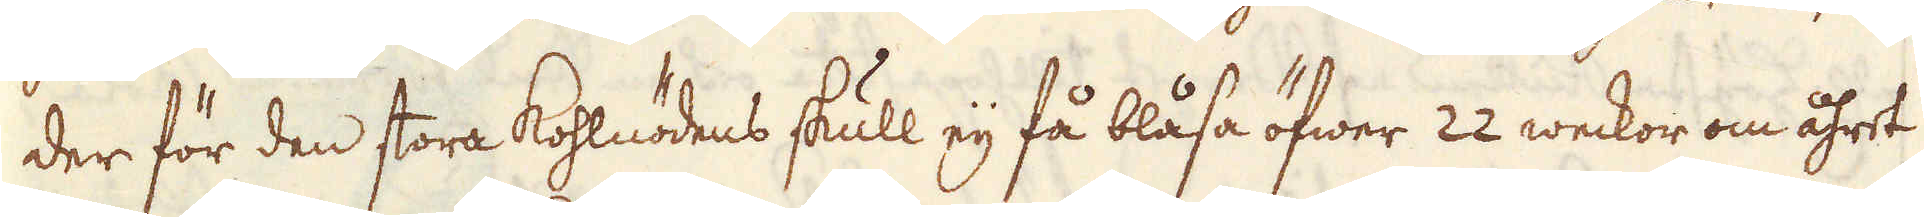der för den stora Kohlnödens skull eij få blåsa öfwer 22 weckor om åhret
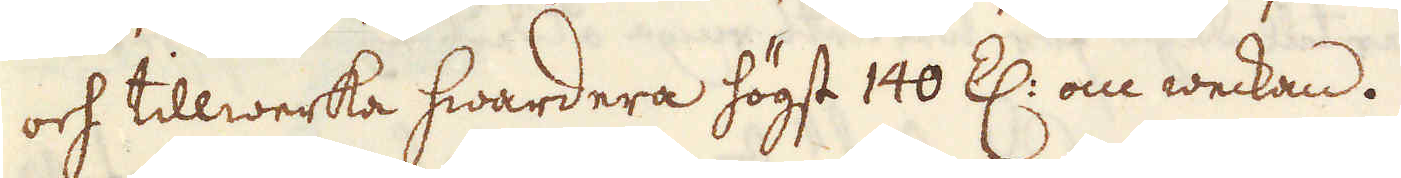och tillwerka hwardera högst 140 Z: om weckan.
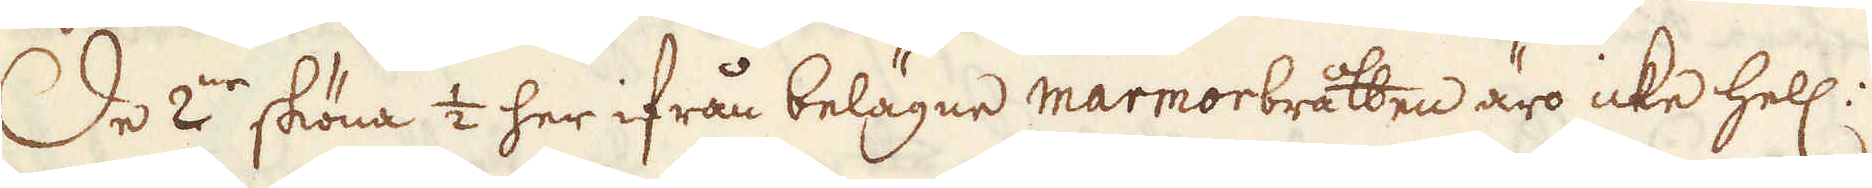De 2:ne sköna 1/2 her ifrån belägne marmorbråtten äro icke hell:
